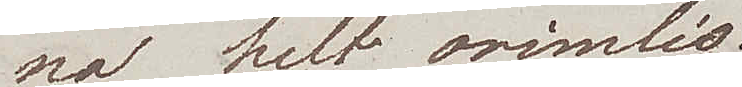na helt orimlig.
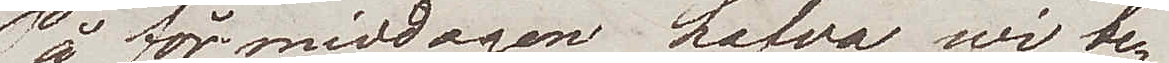På  förmiddagen hafva wi be¬
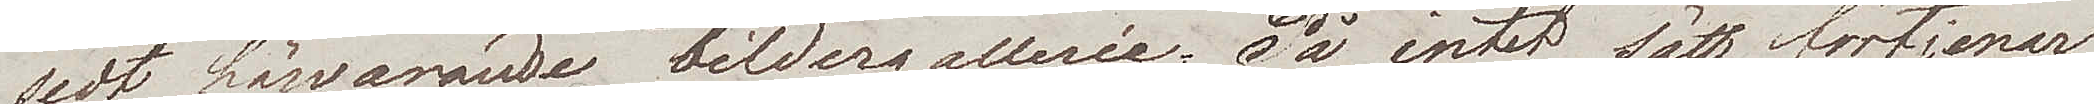sedt härvarande bildergallerie. På intet sätt förtjenar
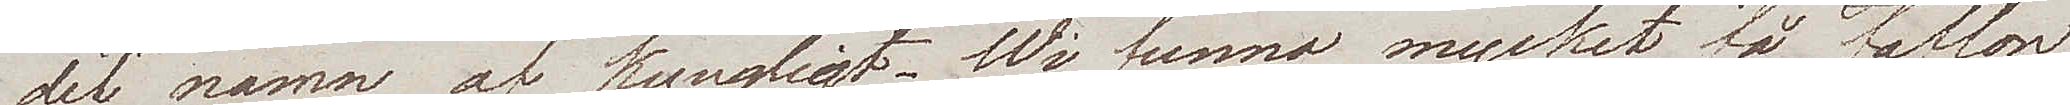det namn af kungligt. Wi funno mycket få taflor
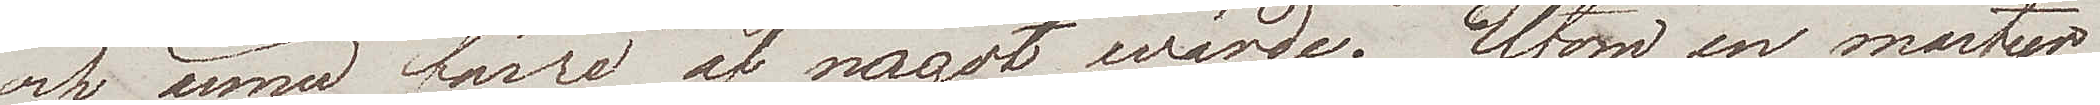och ännu färre af något wärde. Utom en martyr
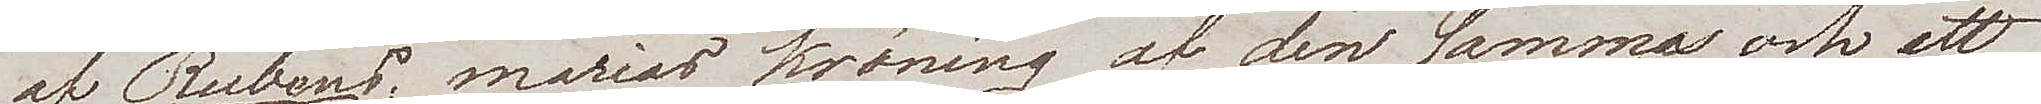af Rubens, Marias kröning af densamma och ett
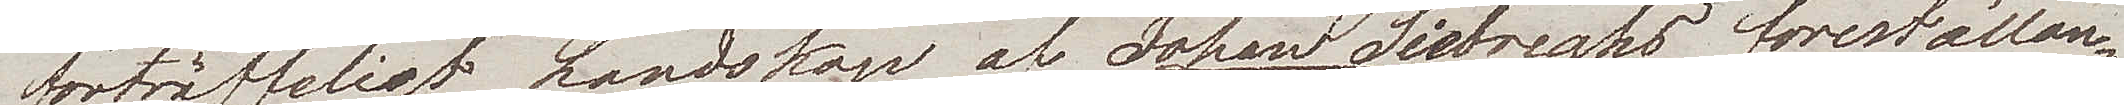förträffligt landskap av Johan Siebreghs föreställan
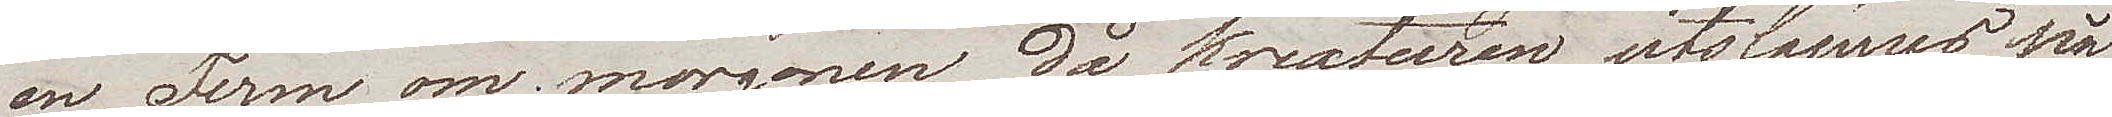en Ferm om morgonen då kreaturen utsläppas på
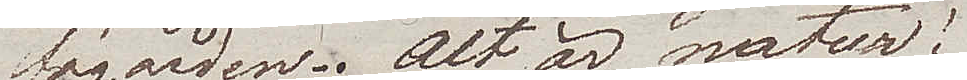fägården; alt är natur!
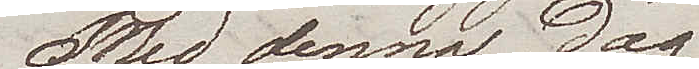Med denna dag
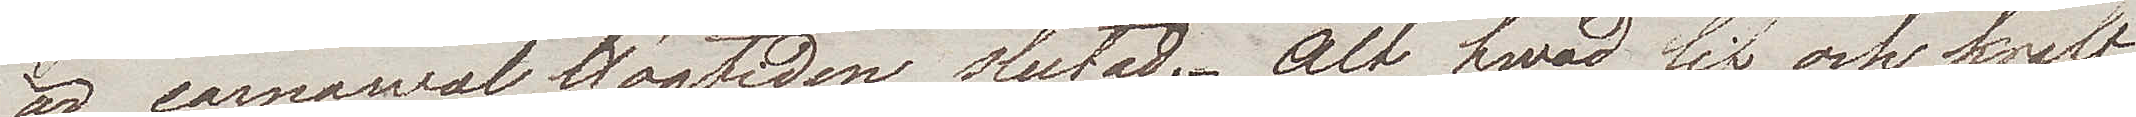är carnawal Högtiden slutad. Alt hwad lif och kraft
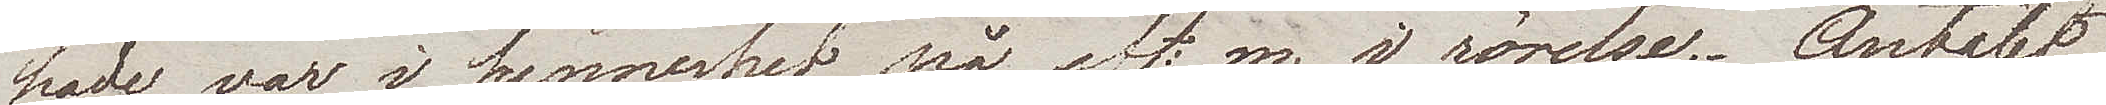hade, var i synnerhet på eft.m. i rörelse. Antalet
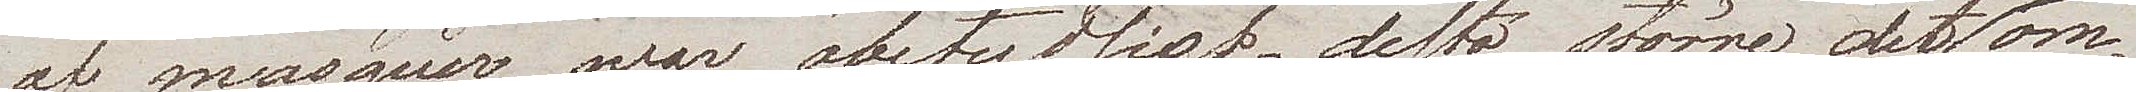af masquer war obetydligt, desto större det af om¬
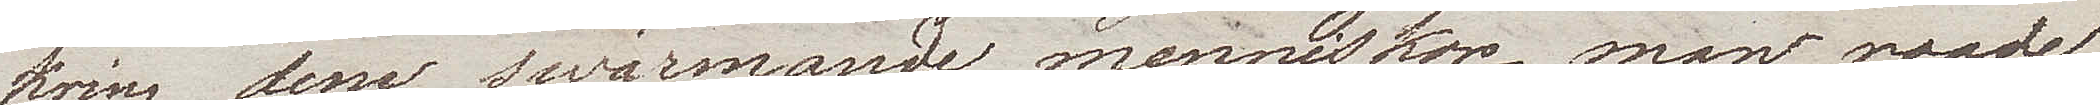kring desse swärmande menniskor – man roade 
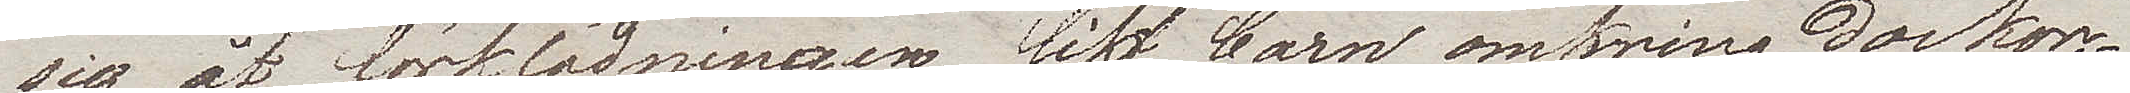sig åt förklädningen, likt barn omkring dockor.
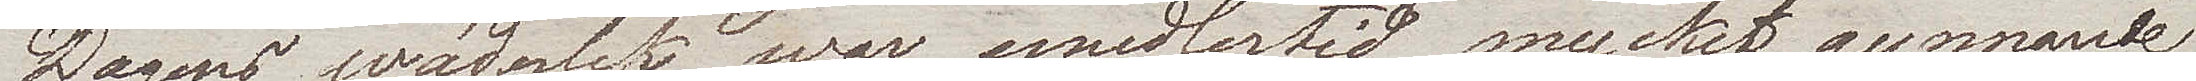Dagens wäderlek war emedlertid mycket gynnnande
